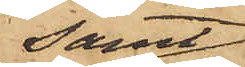samt
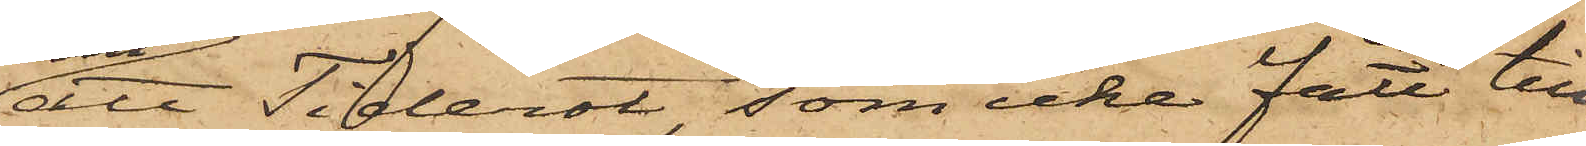att Tiderot, som icke fått till¬
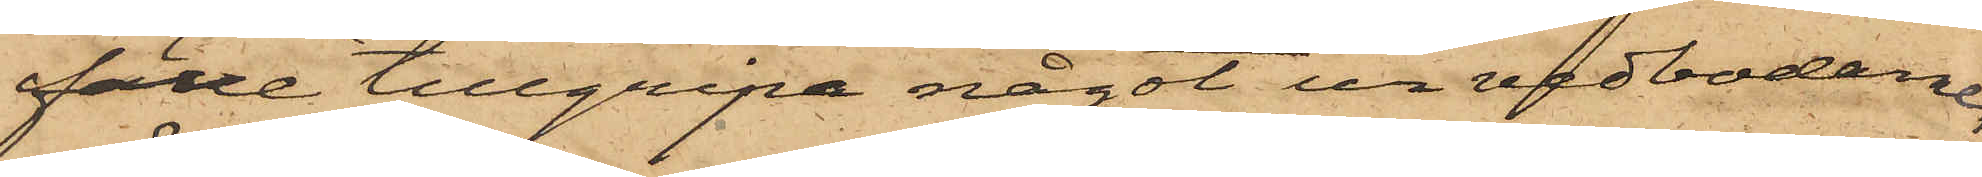fälle tillgripa något ur vedbodane,
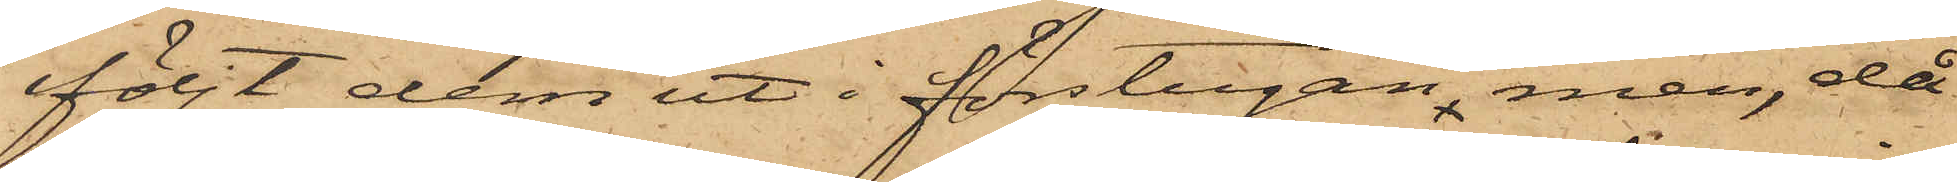följt dem ut i förstugan, men, då
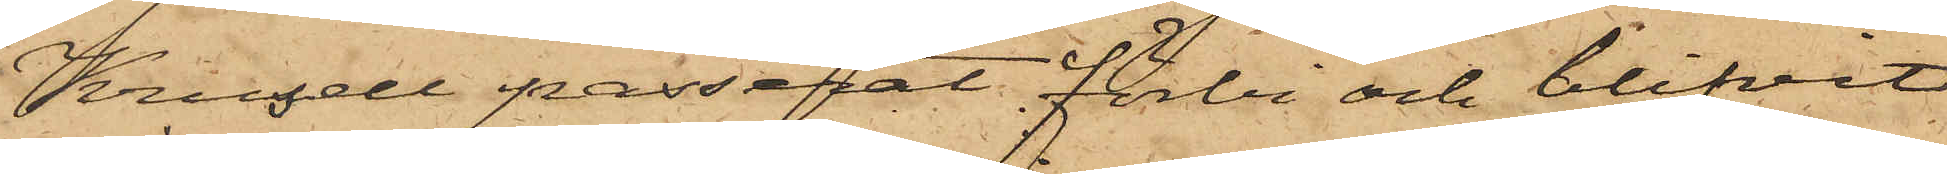Krusell passerat förbi och blifvit
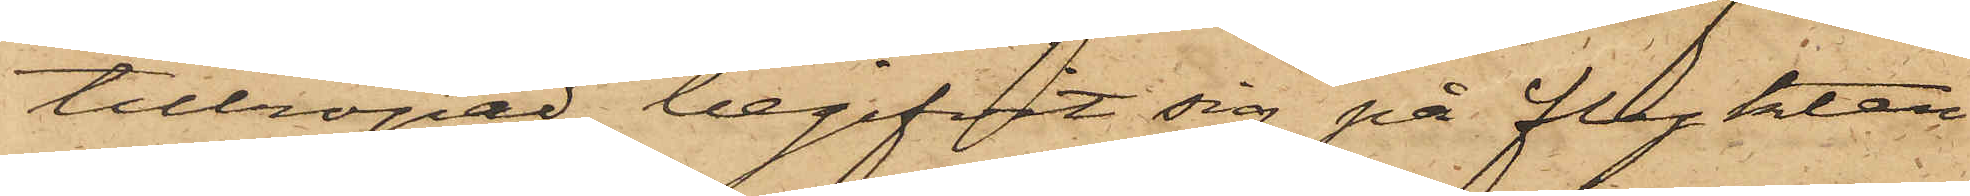tillropad, begifvit sig på flykten
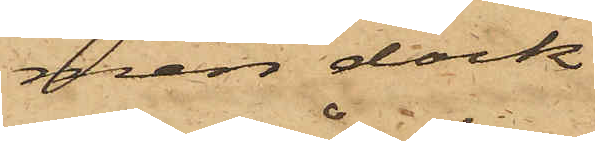men dock
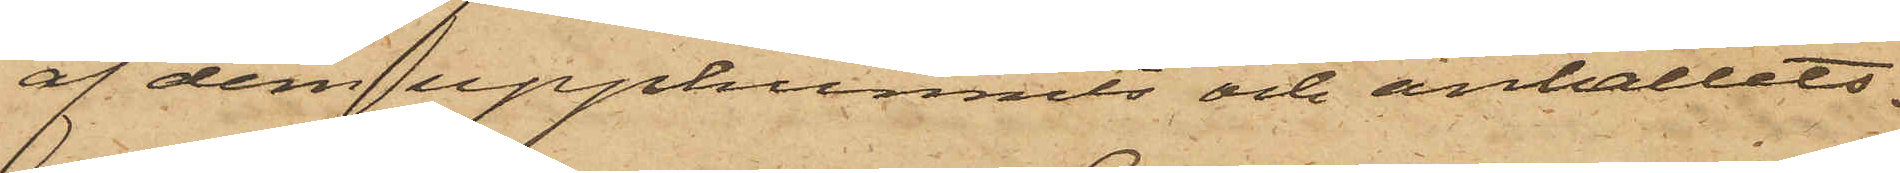af dem upphunnits och anhållits.
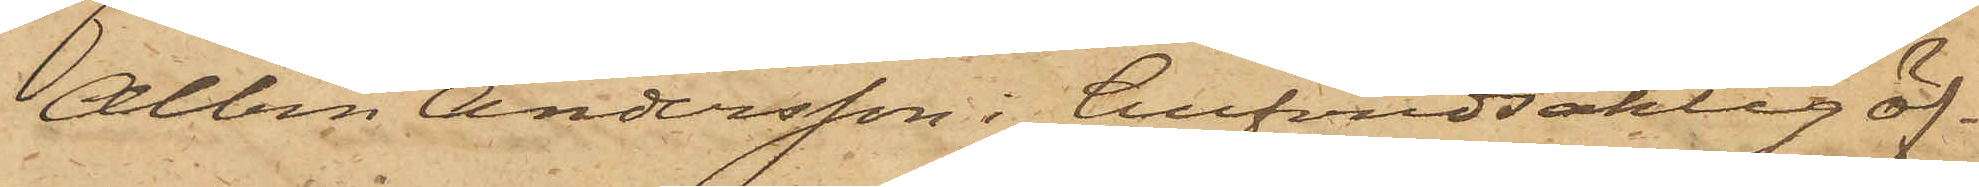Albin Andersson i hufvudsaklig öf¬
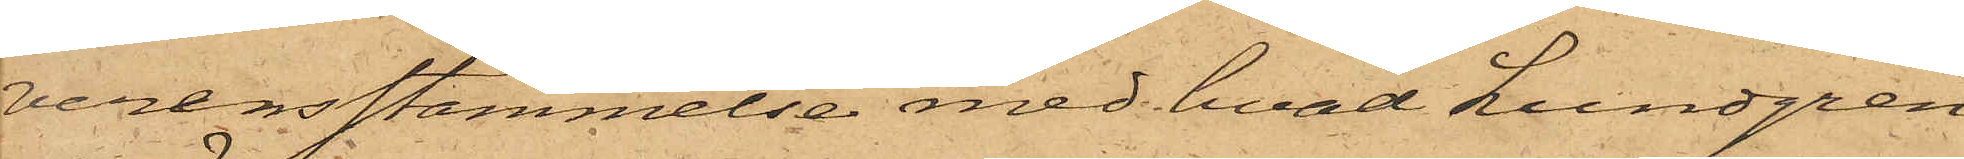verensstämmelse med hvad Lundgren
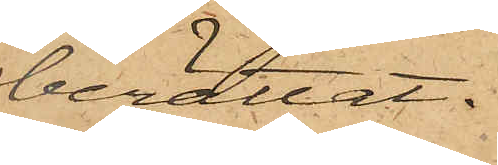berättat.
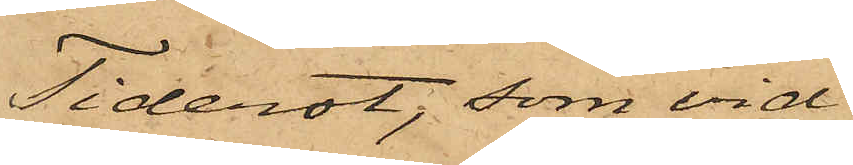Tiderot, som vid
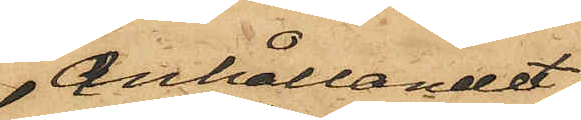anhållandet
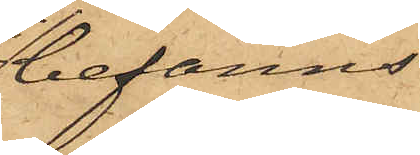befanns
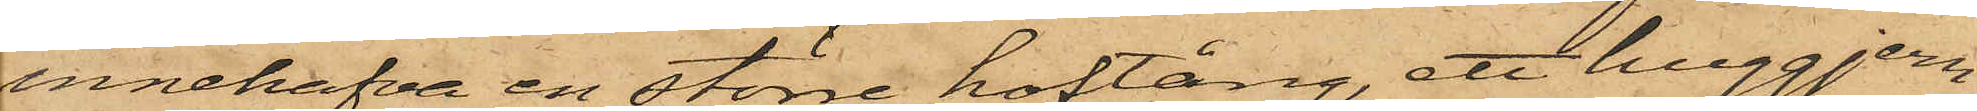innehafva en större hoftång, ett huggjern,
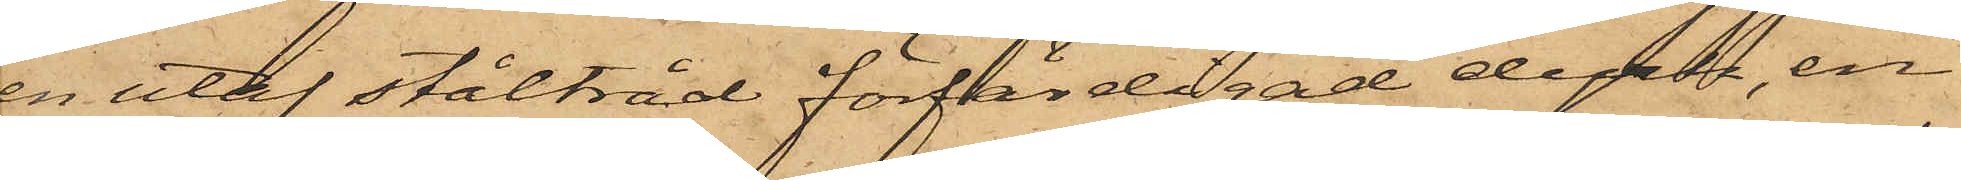en utaf ståltråd förfärdigad dyrk, en
